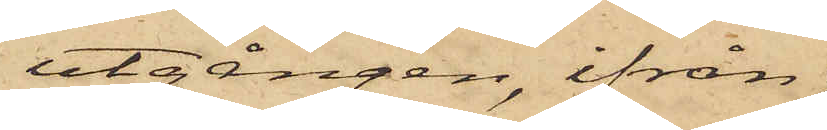utgången, ifrån
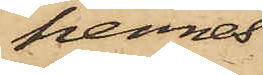hennes
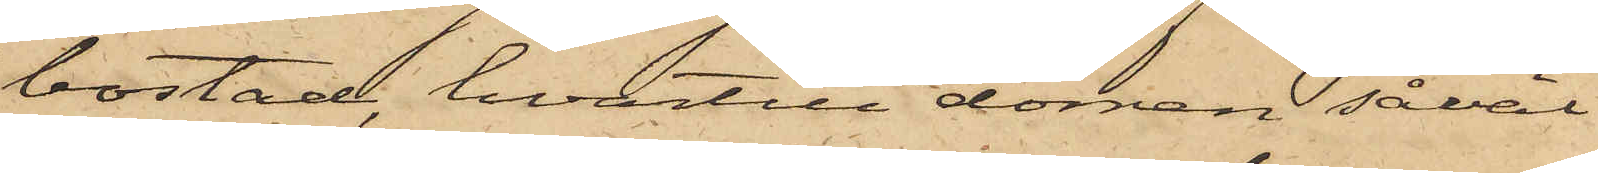bostad, hvartill dörren såväl
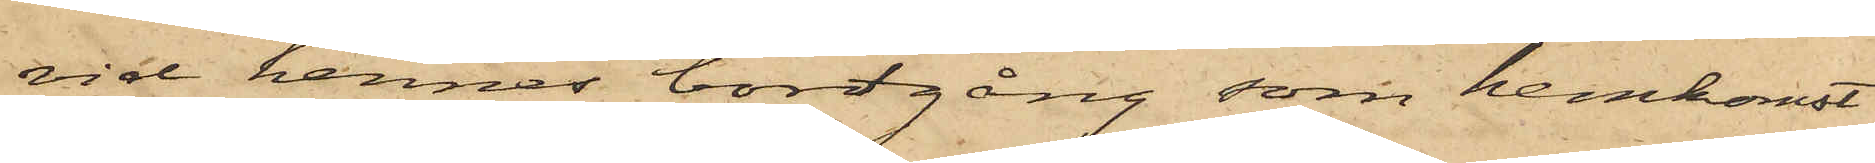vid hennes bortgång, som hemkomst
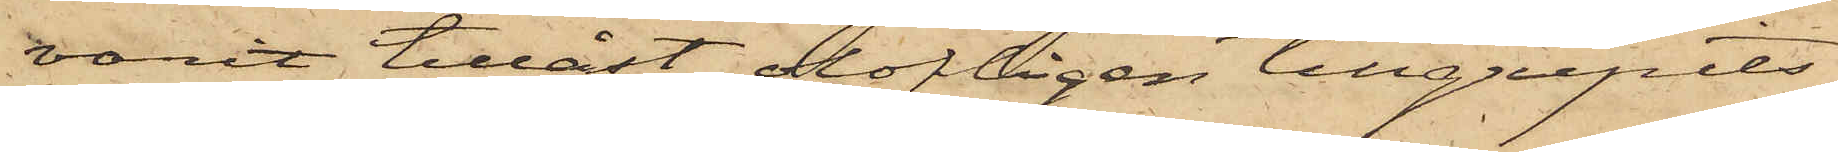varit tillåst, olofligen tillgripits
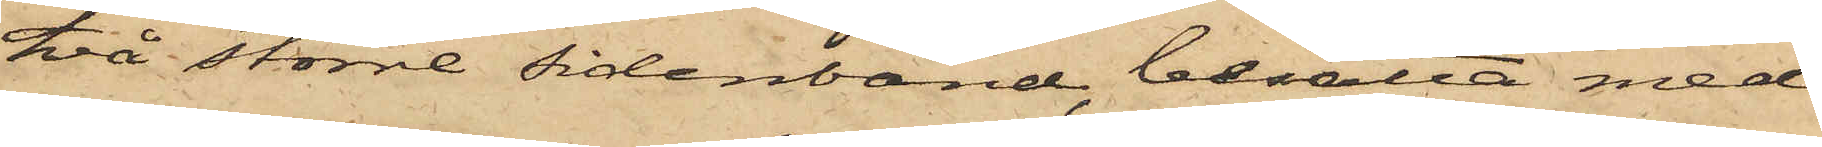två större sidenband besatta med
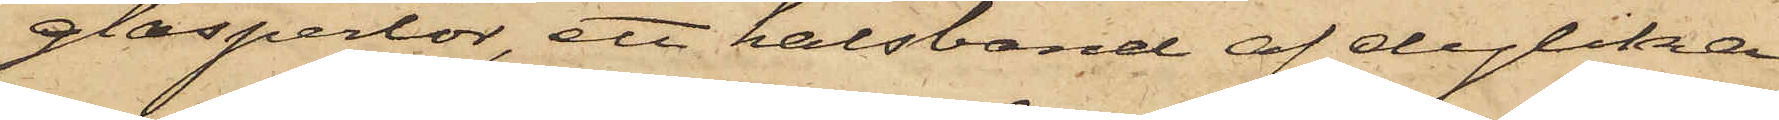glasperlor, ett halsband af dylika
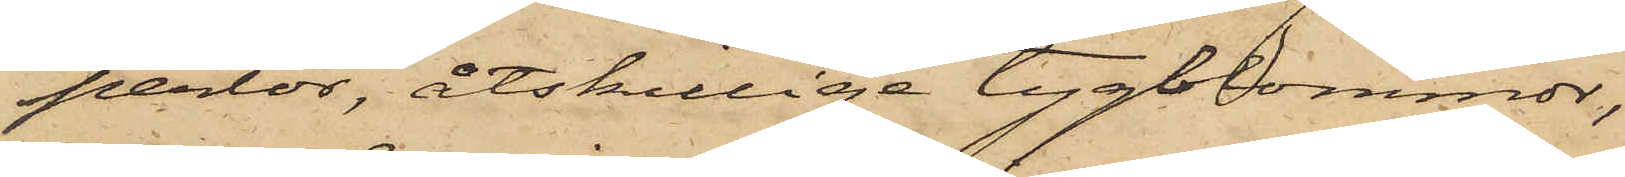perlor, åtskillige tygblommor,
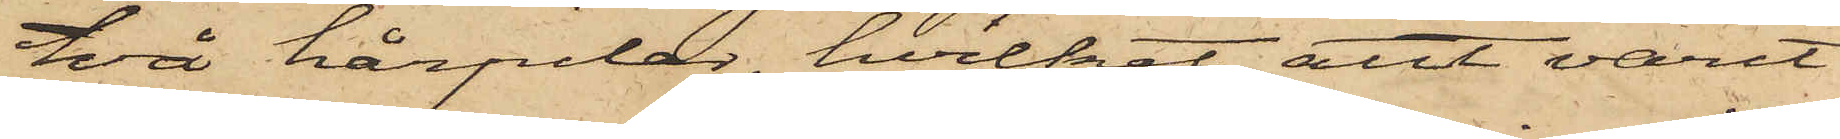två hårpilar, hvilket allt varit
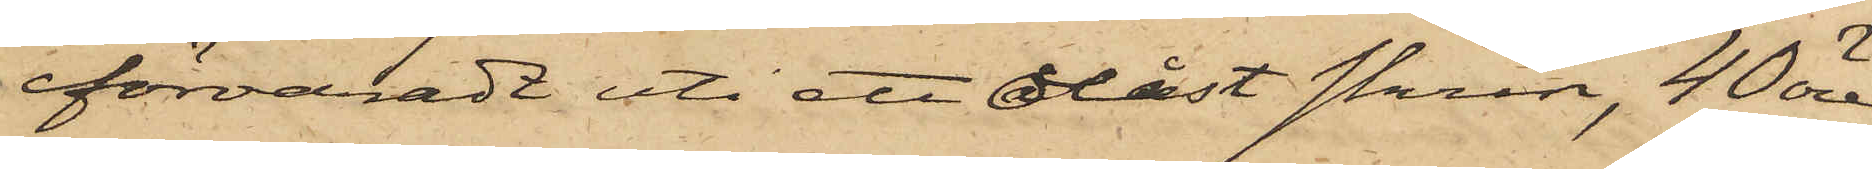förvaradt uti ett olåst skrin, 40 öre
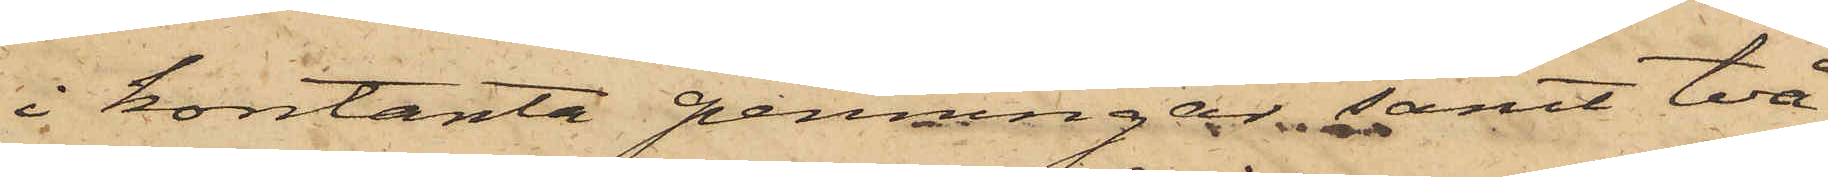i kontanta penningar; samt två
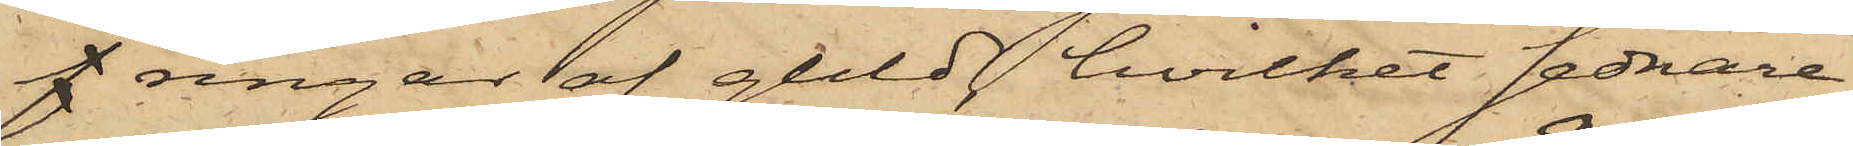f ringar af guld, hvilket sednare
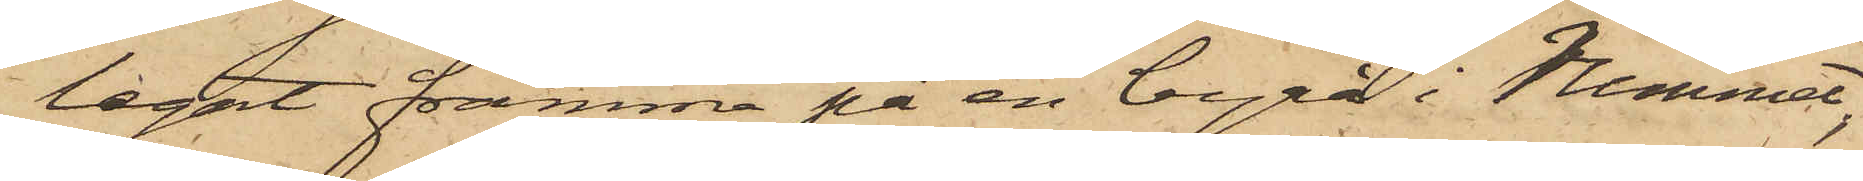legat framme på en byrå i hemmet,
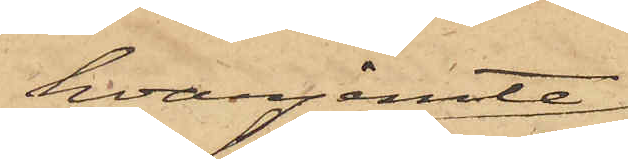hvarjemte
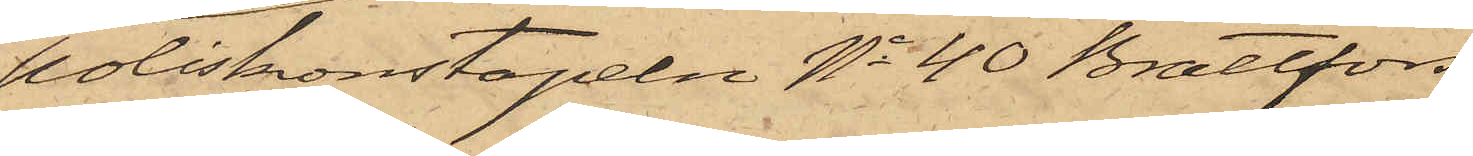poliskonstapeln No 40 Brattfors
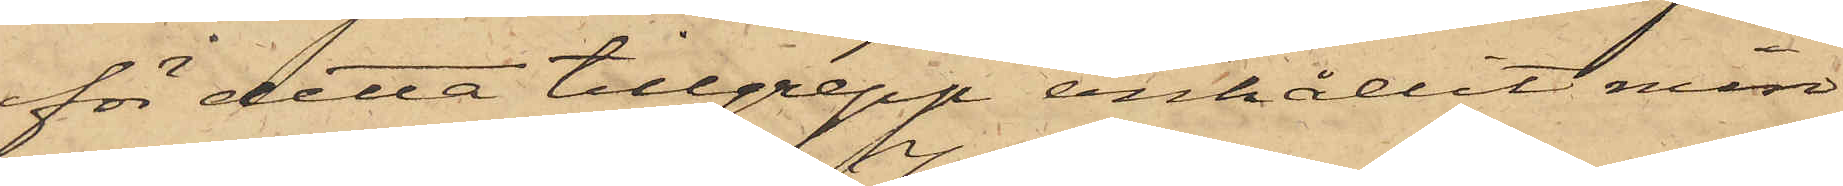för detta tillgrepp anhållit min¬
